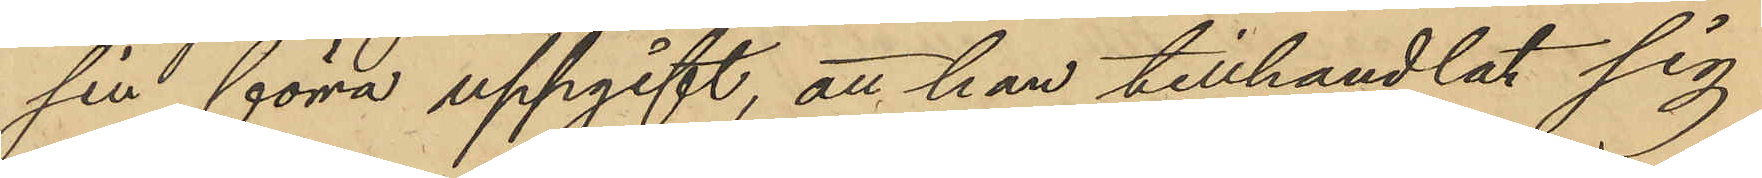sin förra uppgift, att han tillhandlat sig
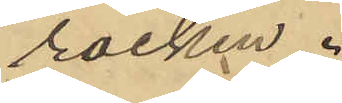rocken.
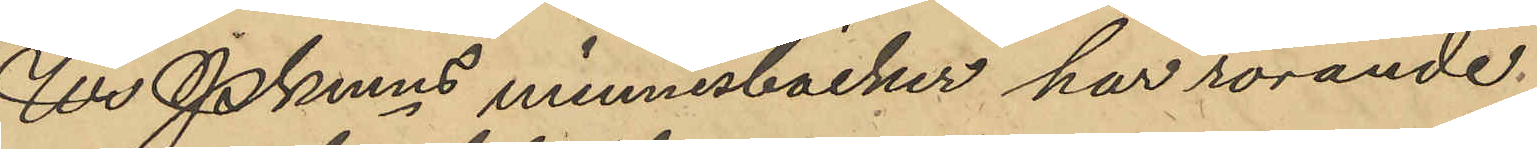Ur Pkmns minnesböcker har rörande
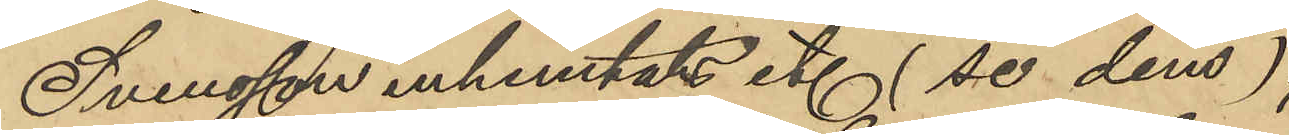Swensson inhemtats etc (se dem),
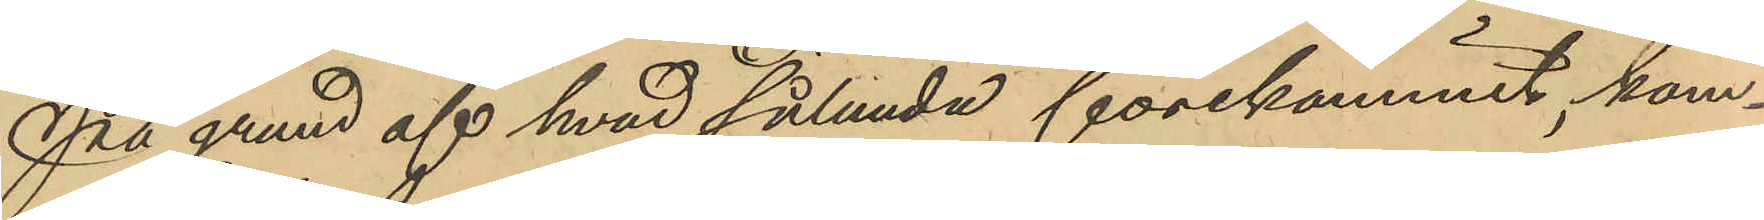På grund af hvad sålunda förekommit, kom¬
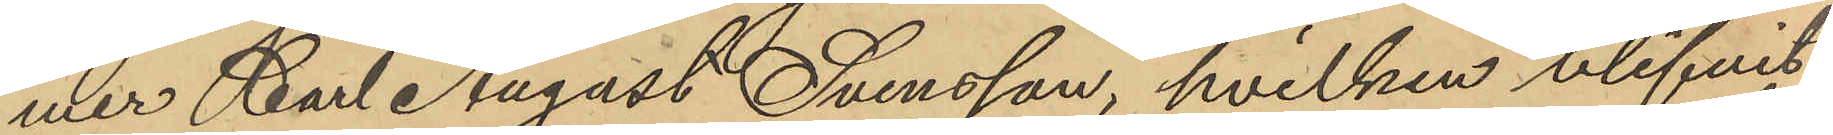mer Carl August Svensson, hvilken blifvit
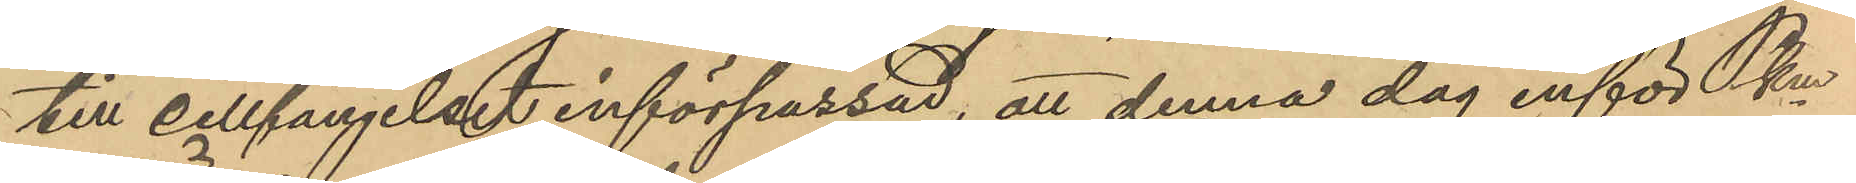till cellfängelset införpassad, att denna dag inför Pkm 
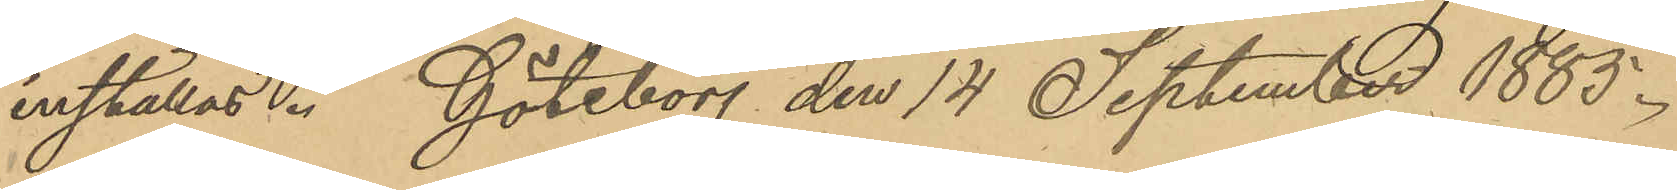inställas. Göteborg den 14 September 1885.
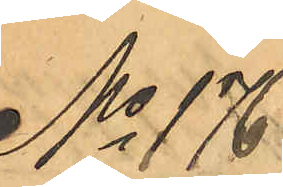No 176
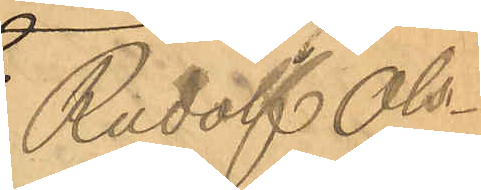Rudolf Ols¬
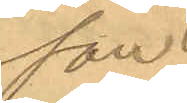son.
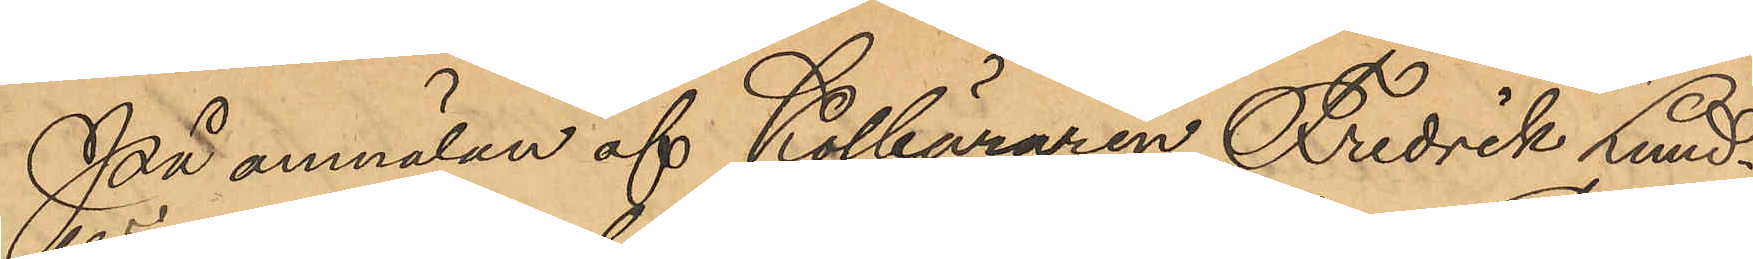På anmälan af Kolbäraren Fredrik Lund¬
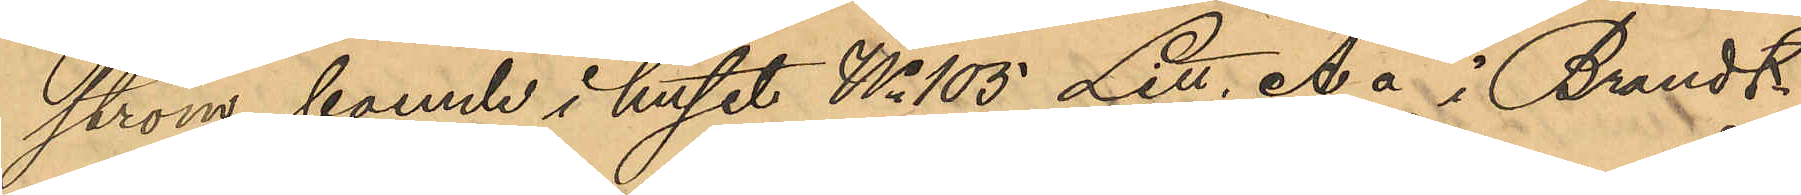ström, boende i huset No 105 Litt. A å i Brandt-
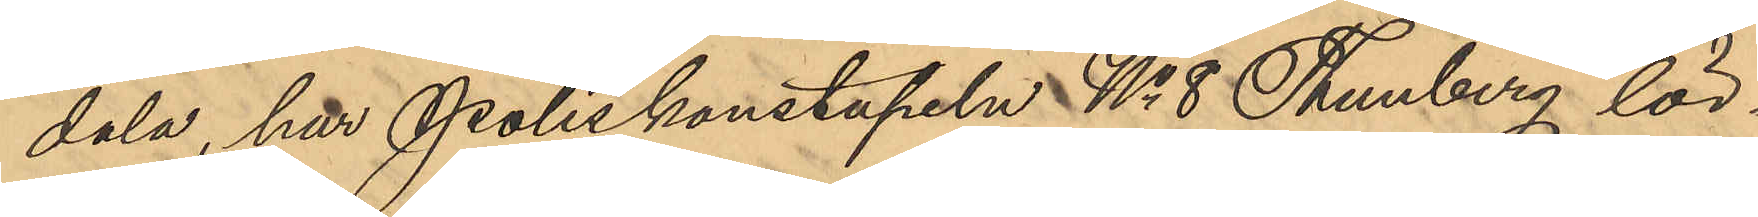dala, har Poliskonstapeln No 8 Thunberg lör¬
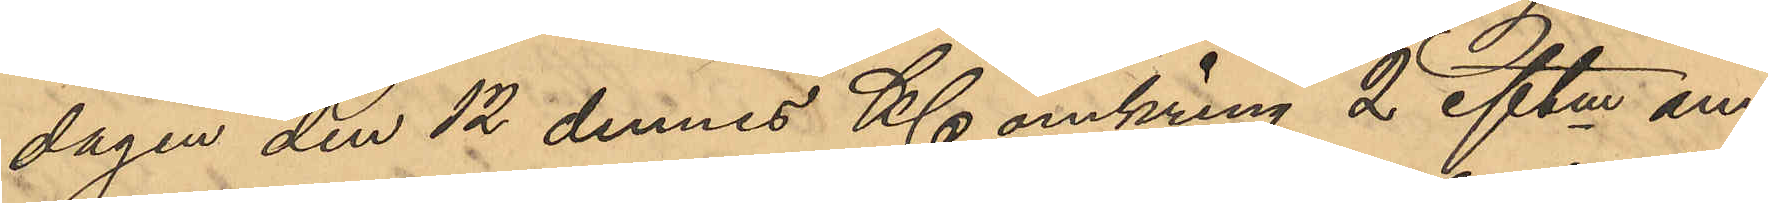dagen den 12 dennes Kl omkring 2 eftm an¬
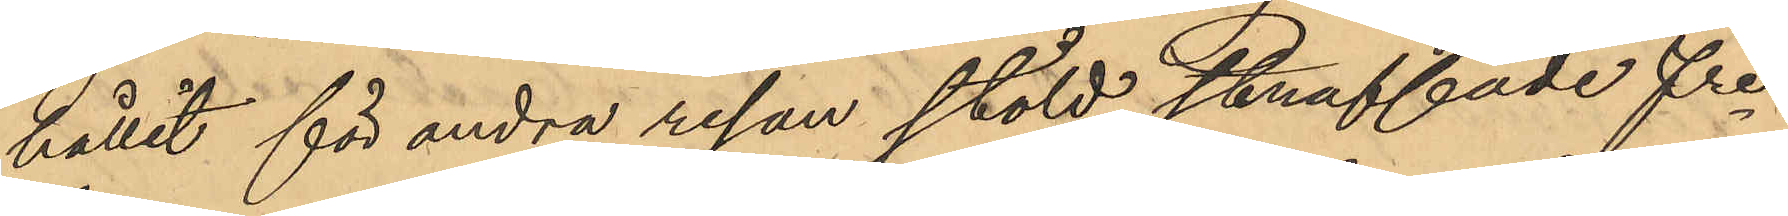hållit för andra resan stöld straffade fre
